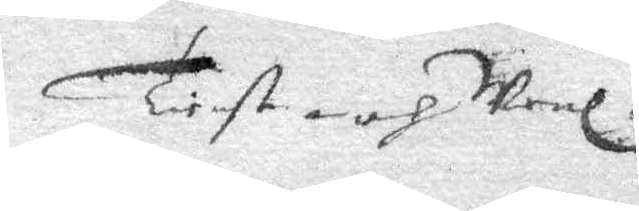Tienste och Wenl.
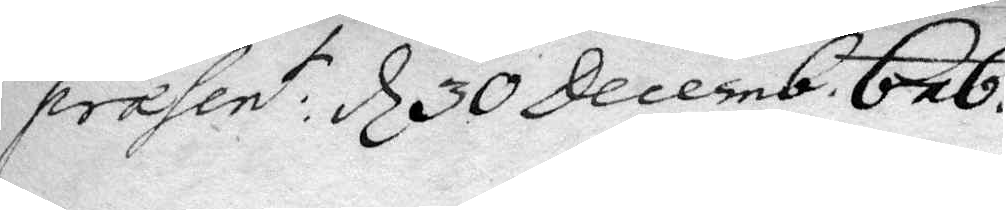præsent: d 30 Decemb. 676.
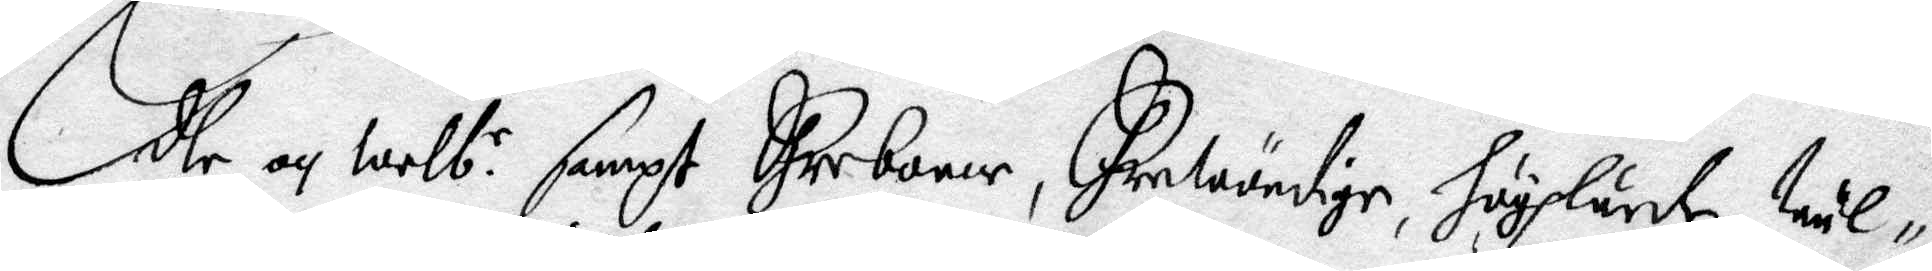Edle och Welb. e sampt Ehreborne, Ehrewurdige, höghlärde, Wäl¬
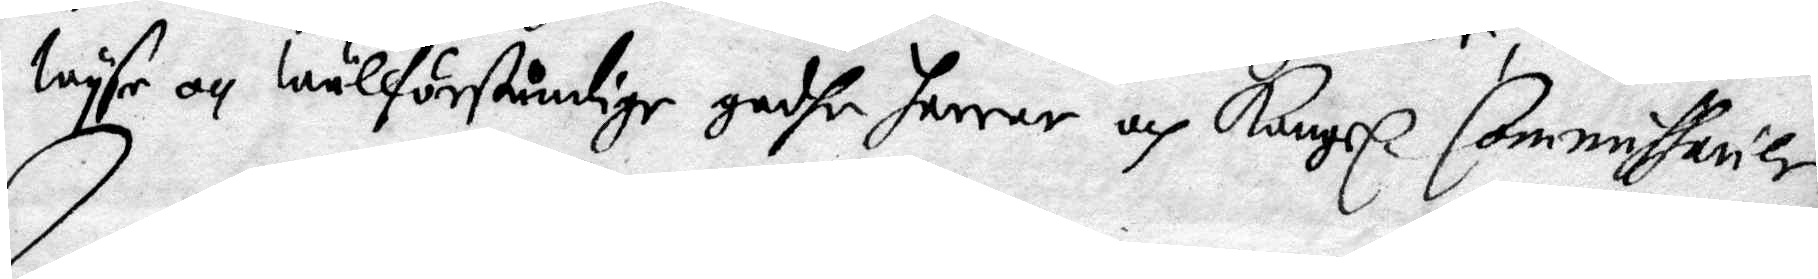Wyse och Wällförståndige godhe herrar och Kongl. Commissarier.
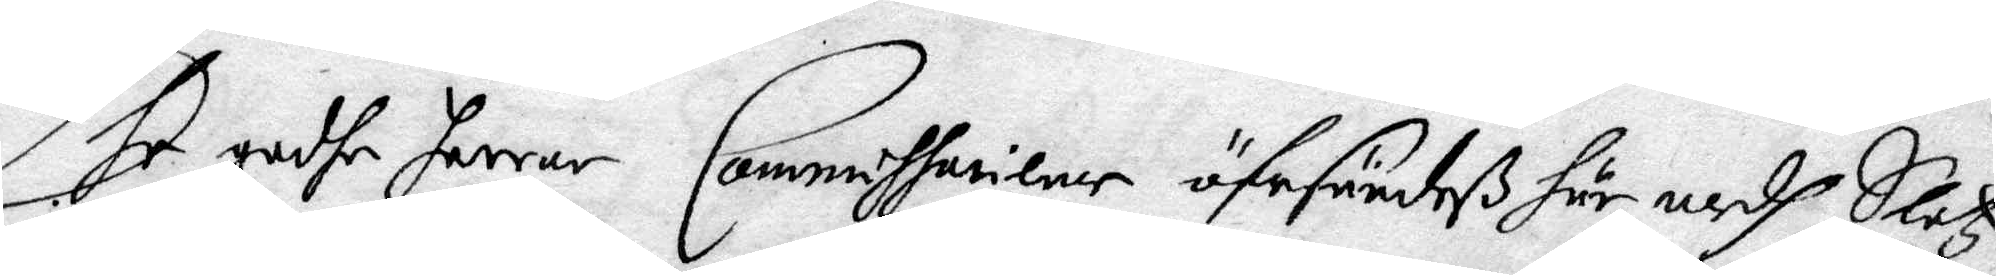Dhe godhe herrar Commissaricner öfrsändeß här medh Slotz¬
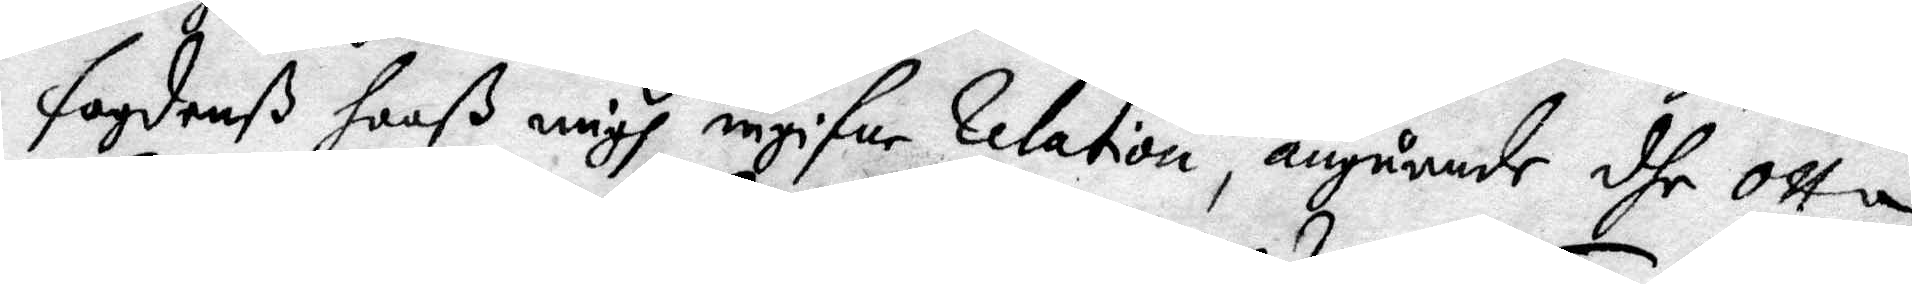fogdenß hooß migh ingifne Relation, angående dhe otta
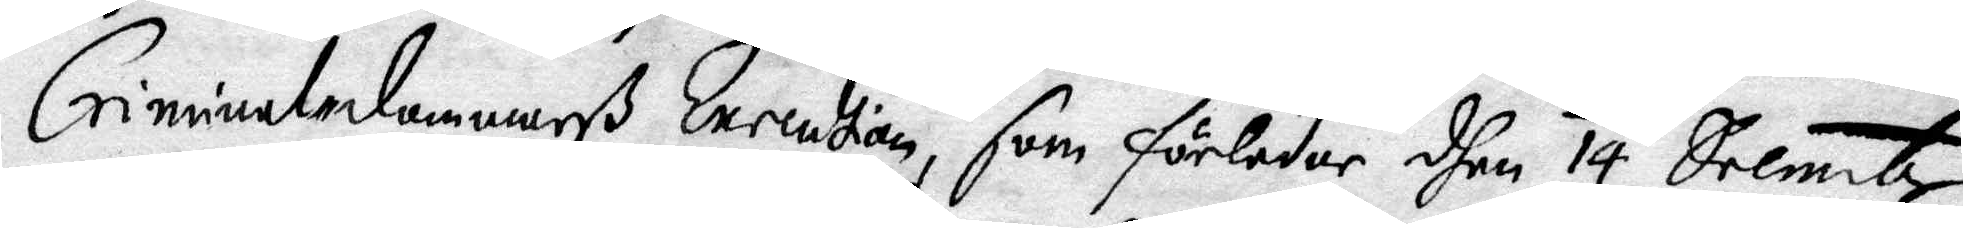Criminal-dommarß Execution, som förleder dhen 14 decembr
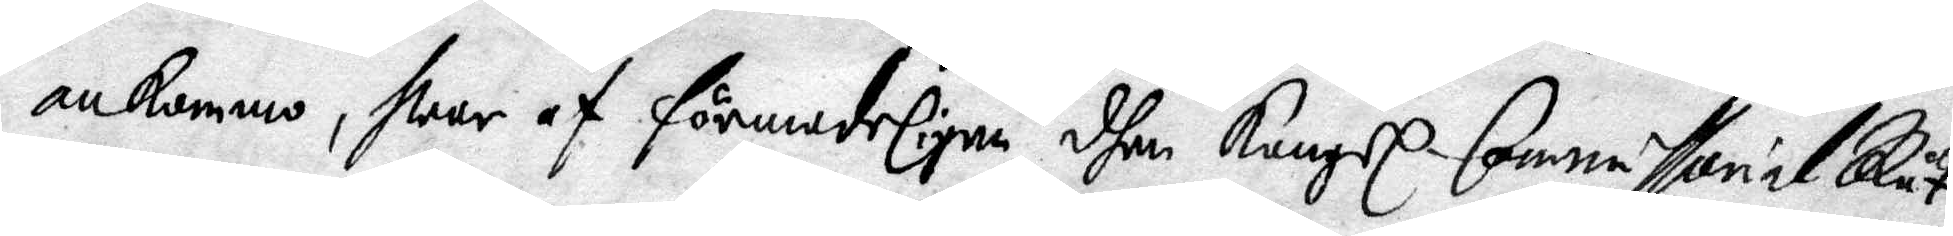ankommo, war af förmodeligen dhen Kungl. Commissorial Rät¬
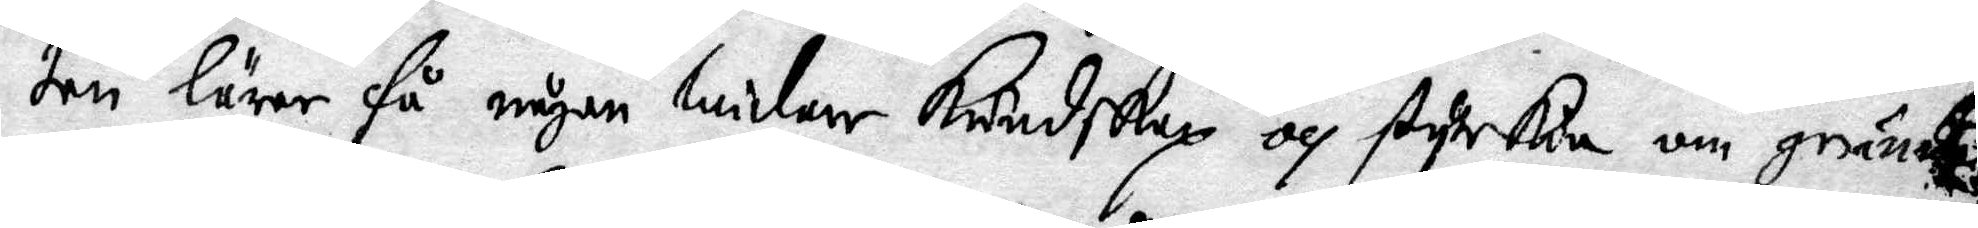ten lärer få någon widare Kundskap och styrka om grunden
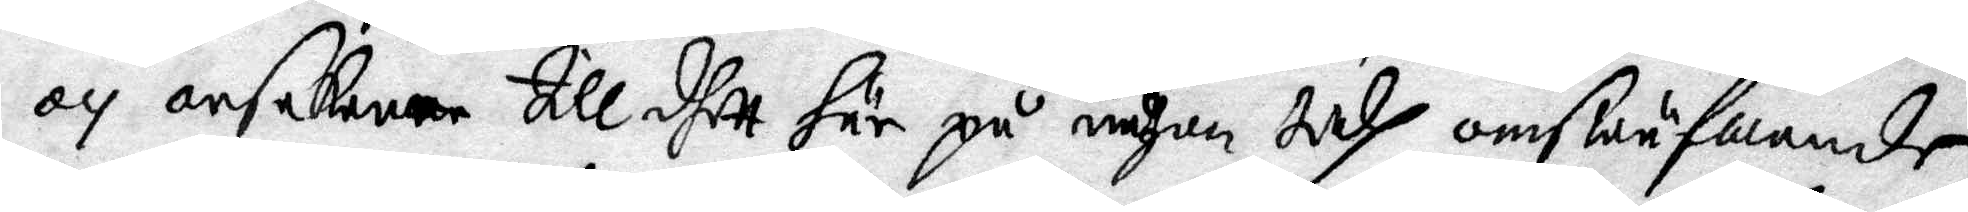och orsakerne till dhett här på någon tidh omswäfwande
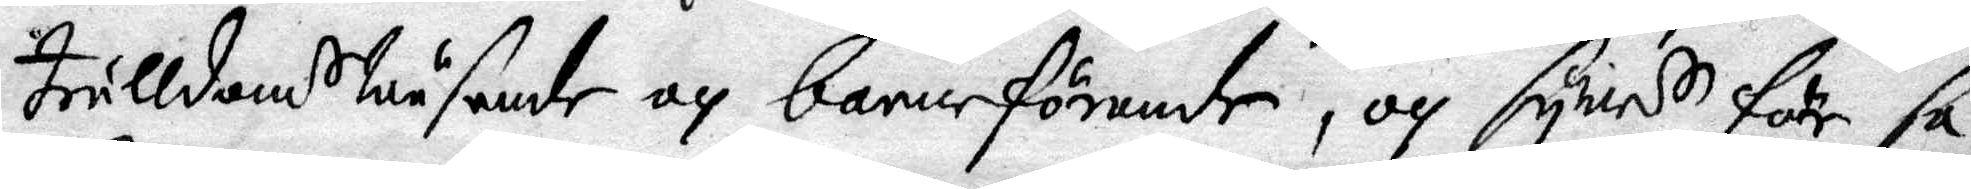trulldomswäsende och barnaförande, och sywis för sa¬
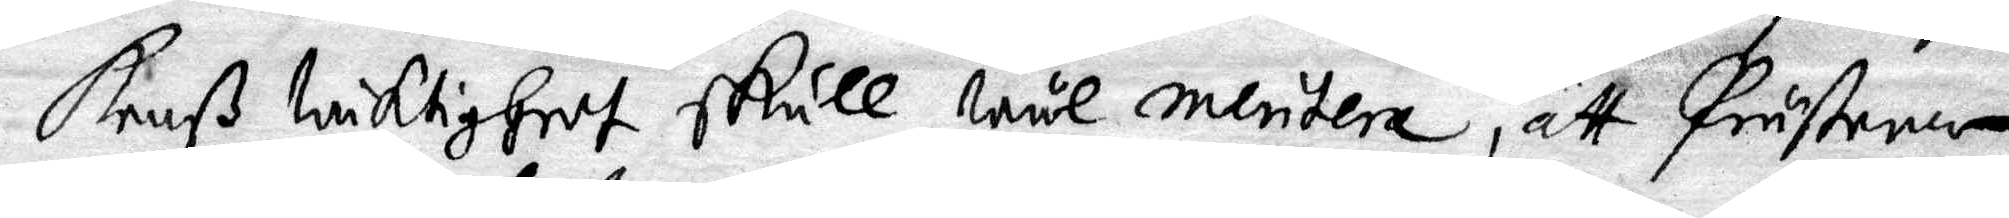kenß wiktigheet skull wäl mentera, att Prästerne
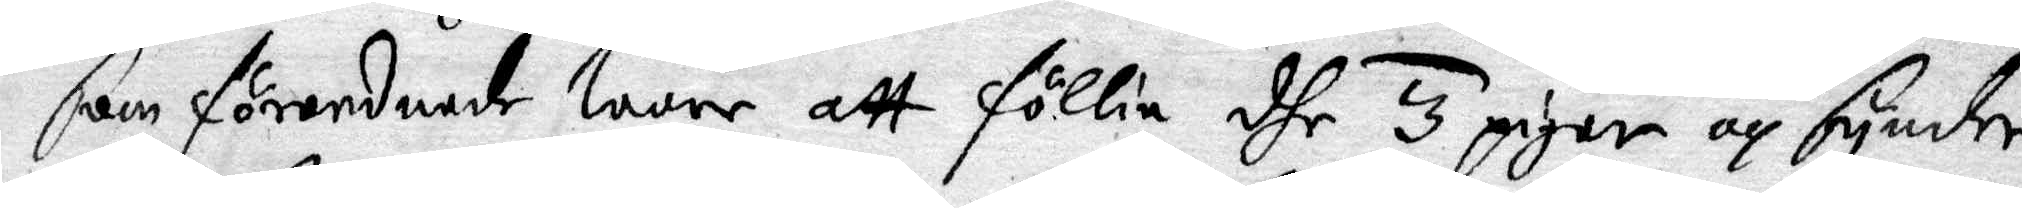som förordnade ware att föllia dhe 3 pigor och synder¬
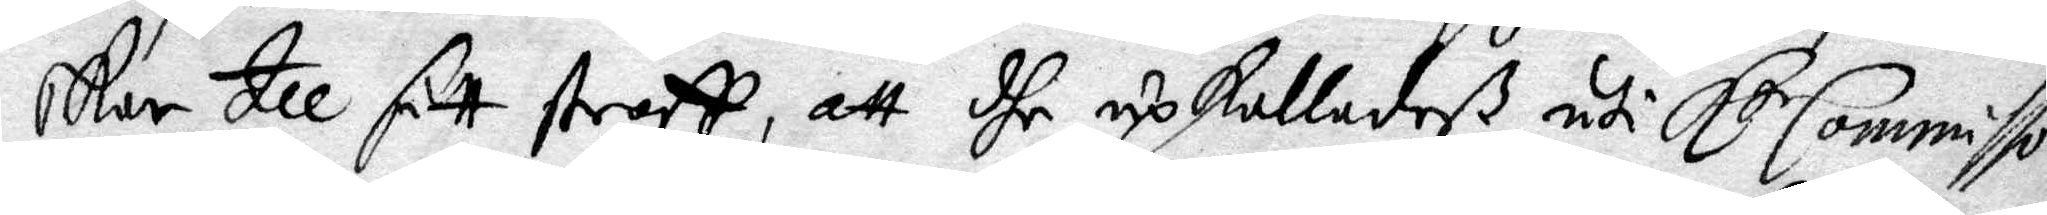skor till sitt straff, att dhe upkalladeß uti K de Commisso¬
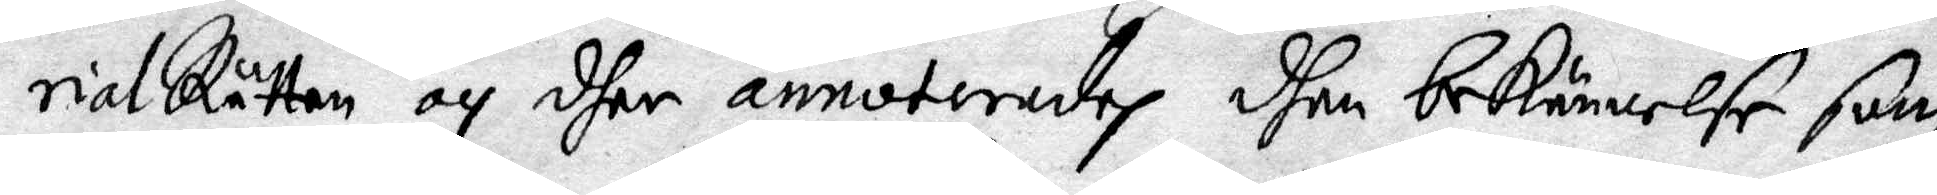rialRätten och dher annoterades dhen bekännelse som
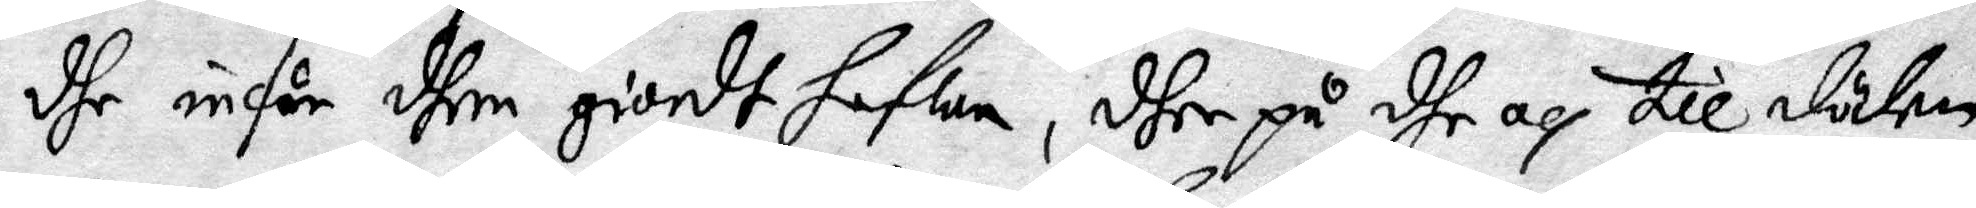dhe inför dhem giordt hafwa, dher på dhe till döden
